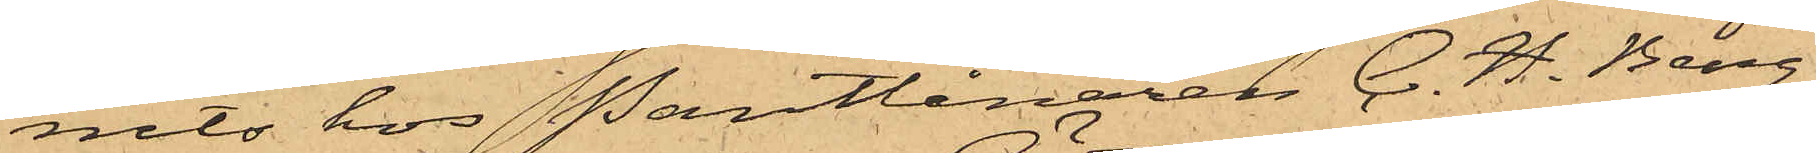nits hos Pantlånaren C. H. Berg
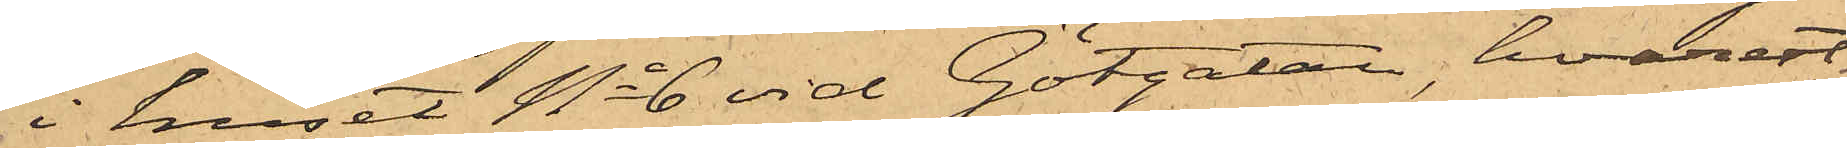i huset No 6 vid Götgatan, hvarest
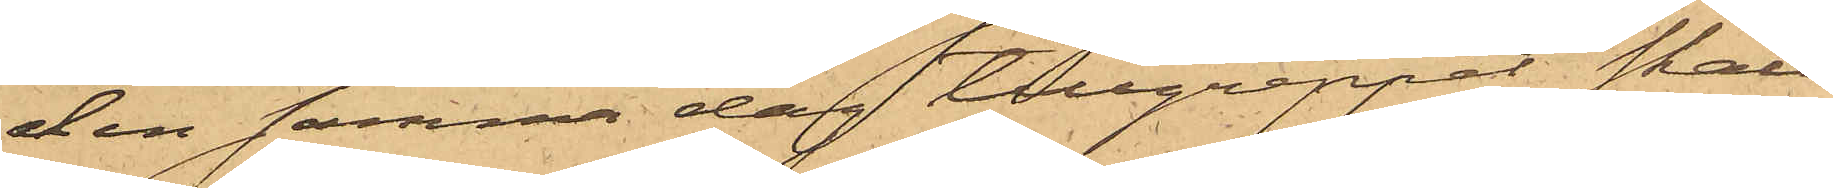den samma dag tillgreppet skall
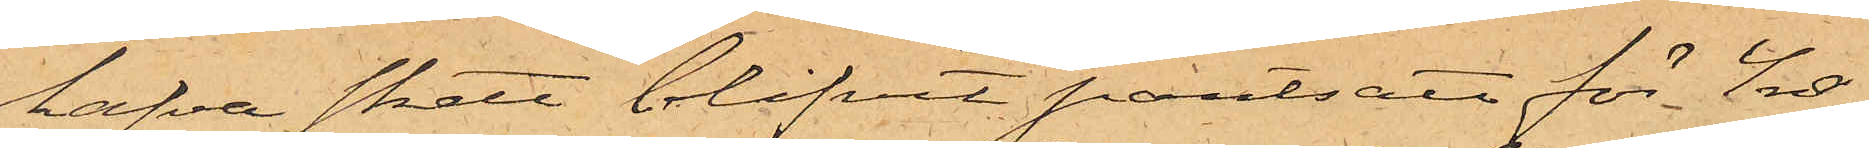hafva skett blifvit pantsatt för 4 rdr,
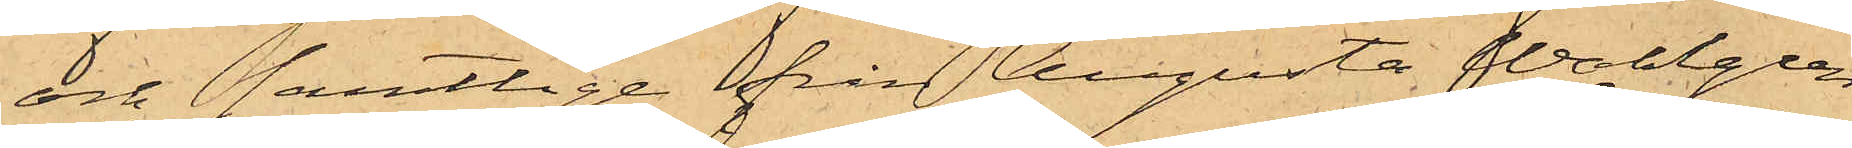och samtlige från Augusta Wahlgren
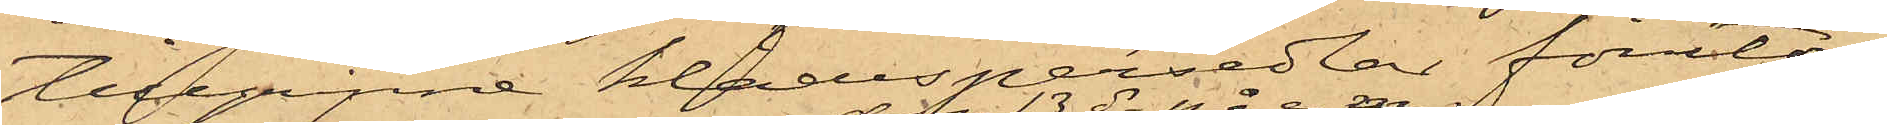tillgripne klädespersedlar förutom
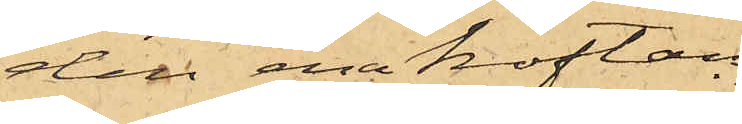den ena koftan
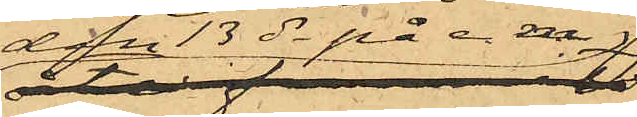den 13 ds på e.m.
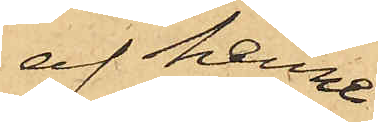af henne
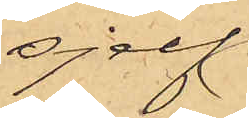sjelf
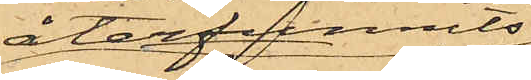återfunnits
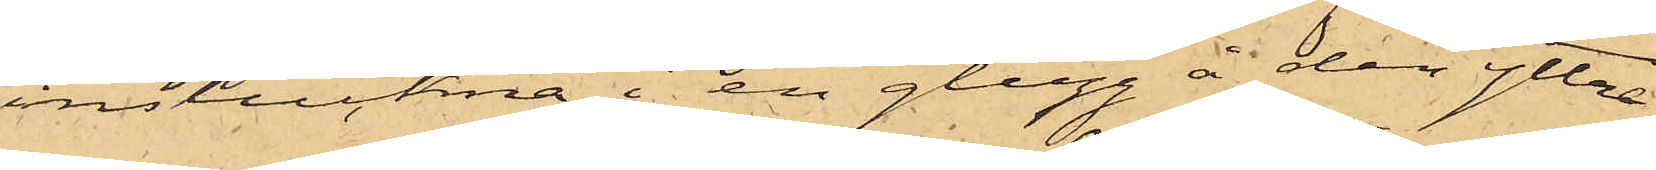instuckna i en glugg å den yttre
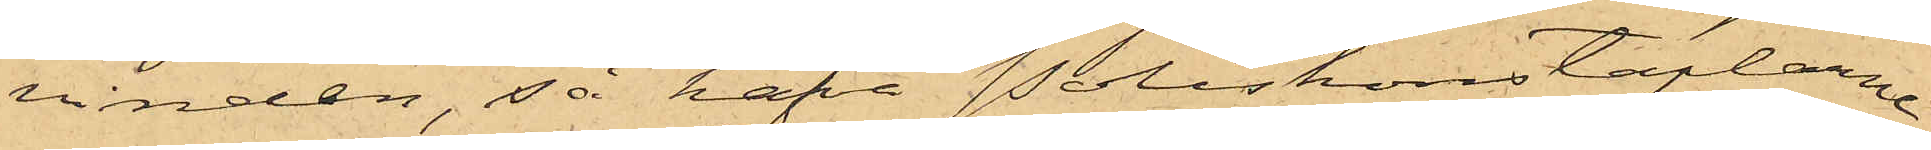vinden, så hafva Poliskonstaplarne
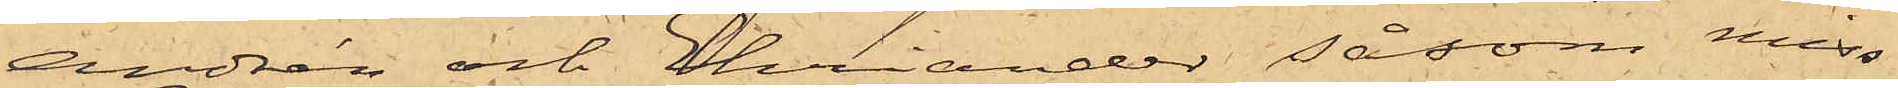Andrén och Ehriander såsom miss¬
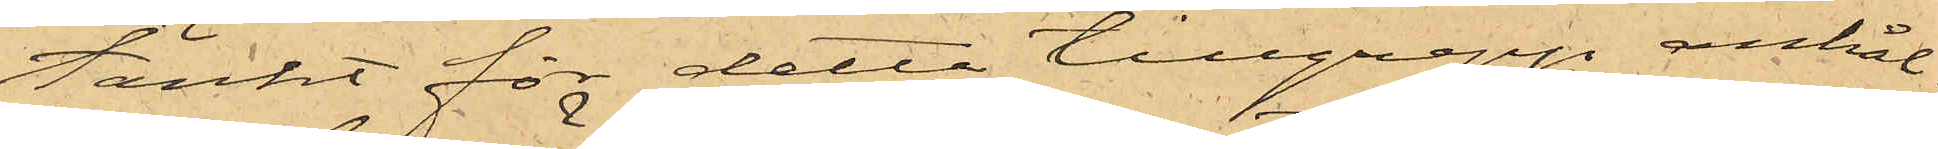tänkt för detta tillgrepp anhål¬
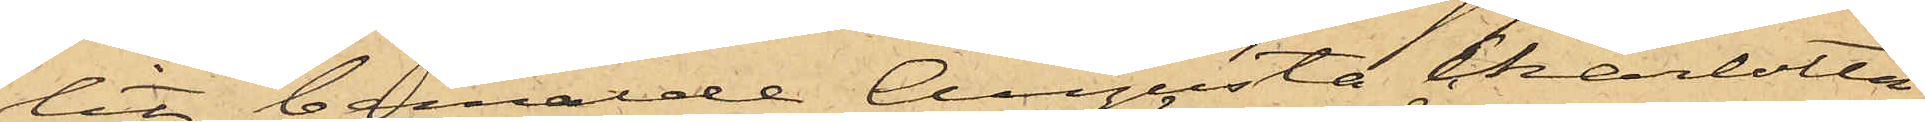lit bemälde Augusta Charlotta
